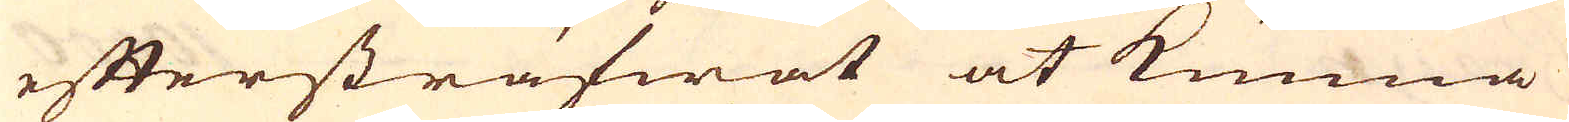eftersträfwat at kunna
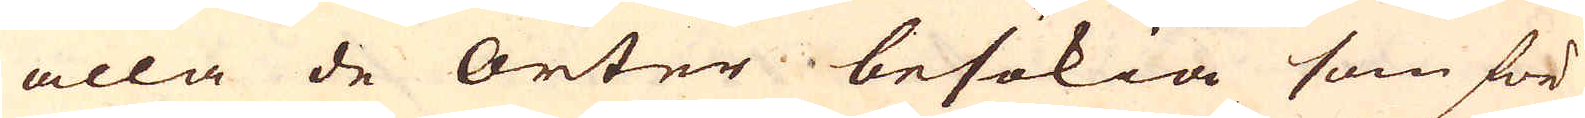alla de orter besökia som för
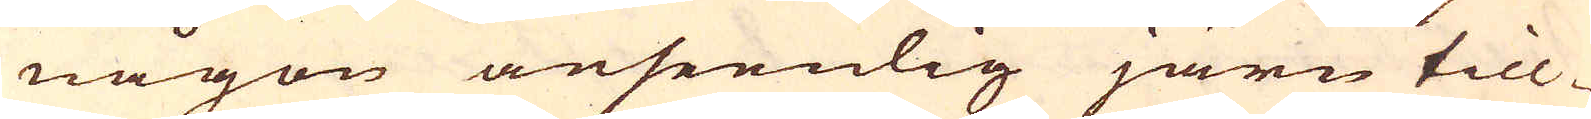någon anseenlig järn till-
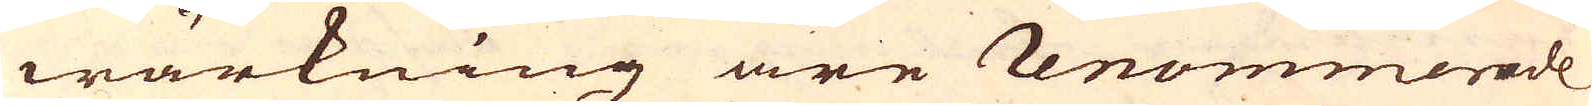wärkning äre renommerade
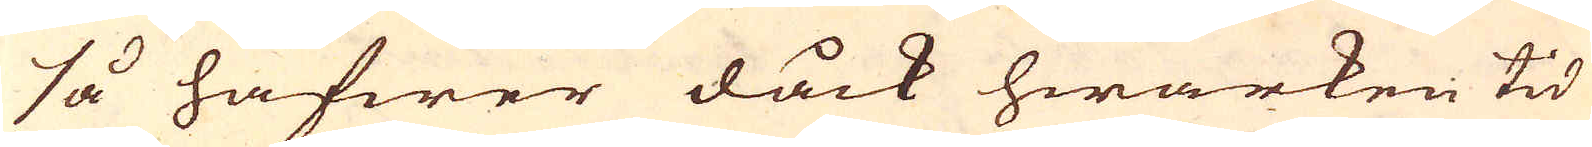så hafwer dåck hwarken tid
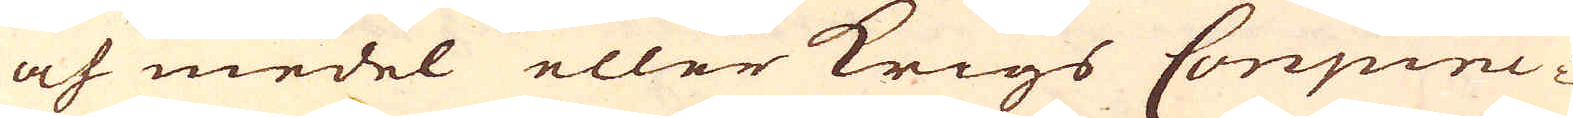och medel eller krigs Conjunc-
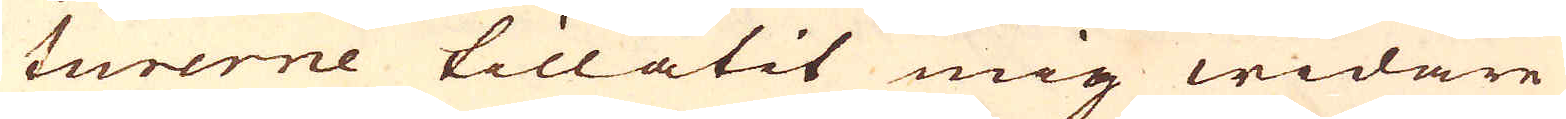turerne tillåtit mig widare
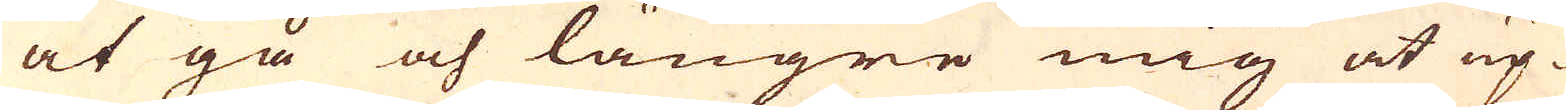at gå och längre mig at up-
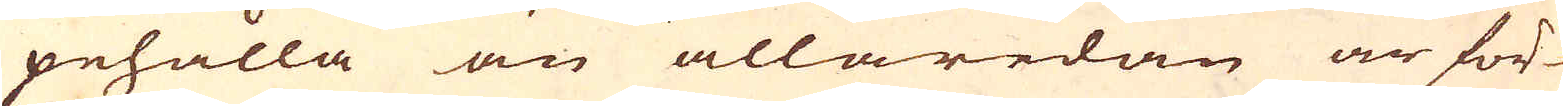pehålla än allaredan är för-
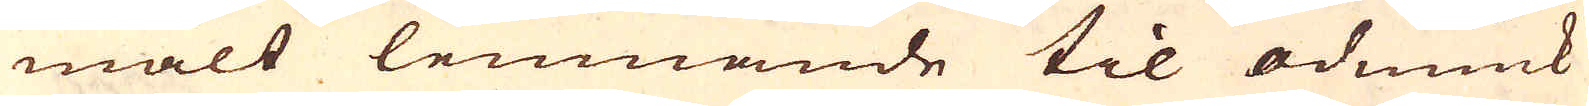mält lemnande til ödmiuk
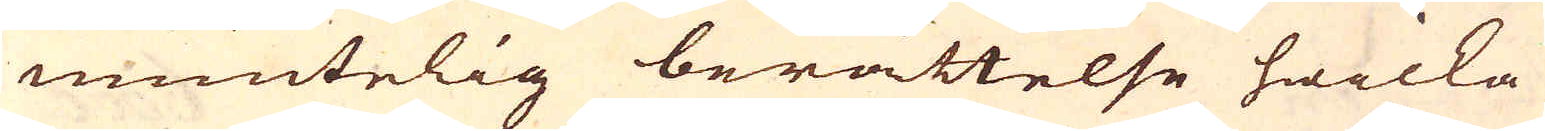muntelig berättelse hwilka
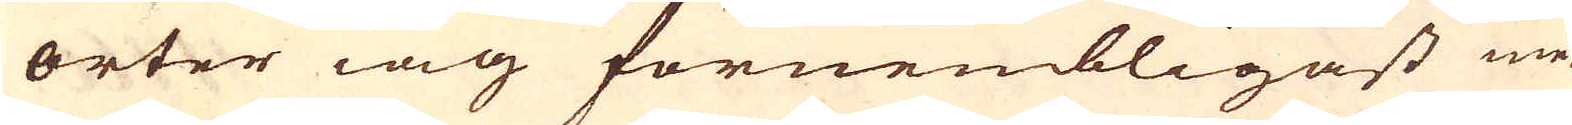orter iag förnembligast me-
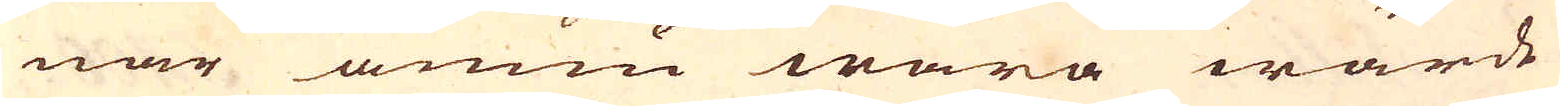nar ännu wara wärde
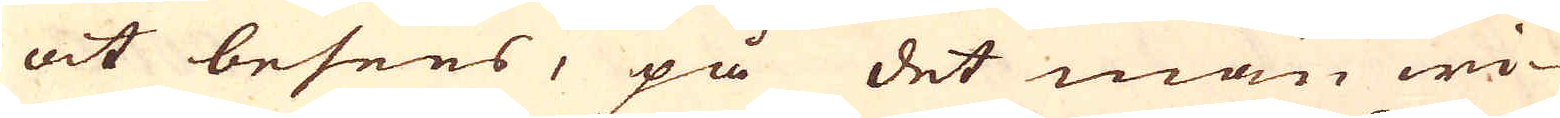at besees, på det man wi-
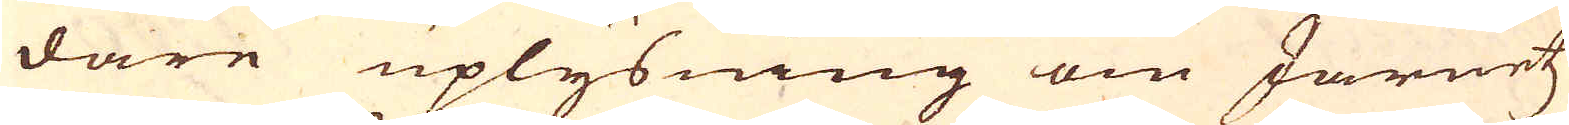dare uplysning om Järnetz
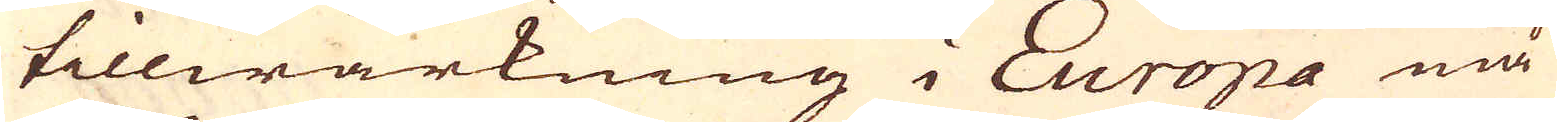tillwärkning i Europa må
